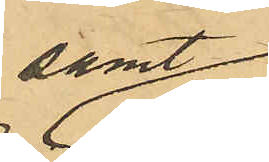samt
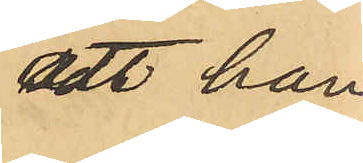att han,
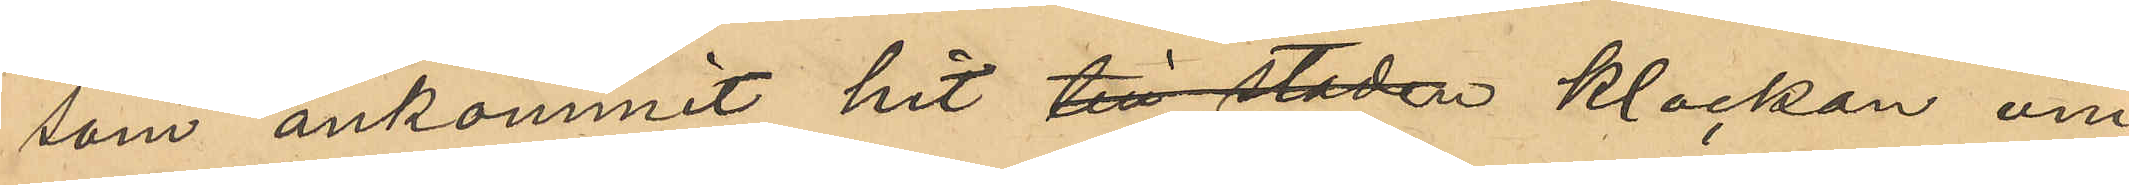som ankommit hit till staden klockan om¬
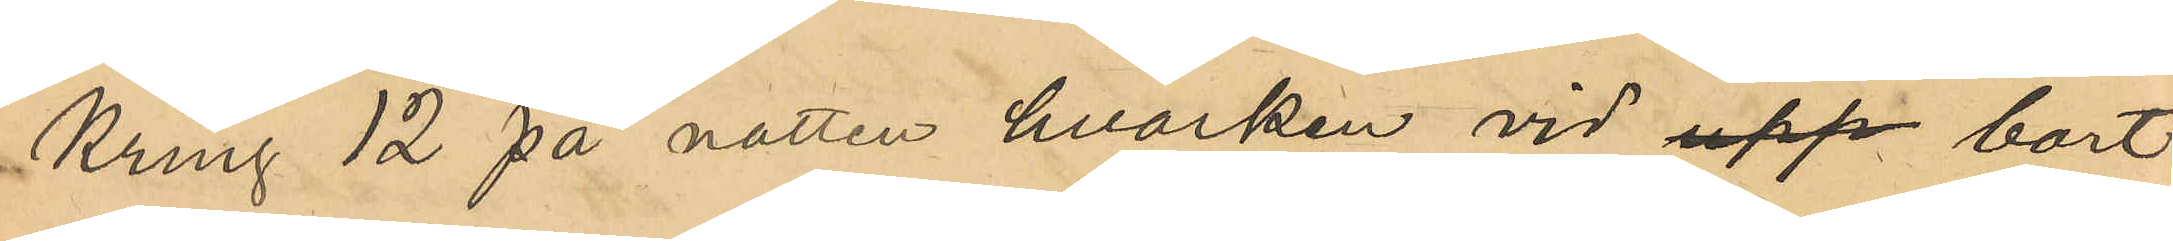kring 12 på natten hvarken vid upp bort -
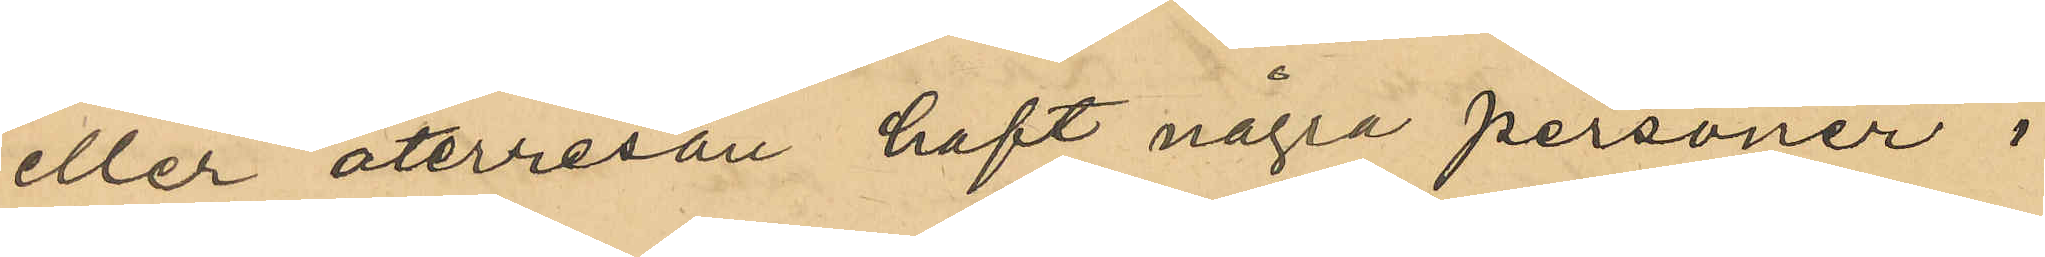eller återresan haft några personer i
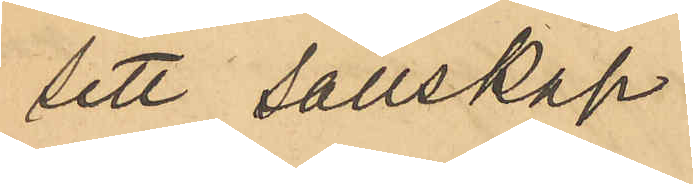sitt sällskap.
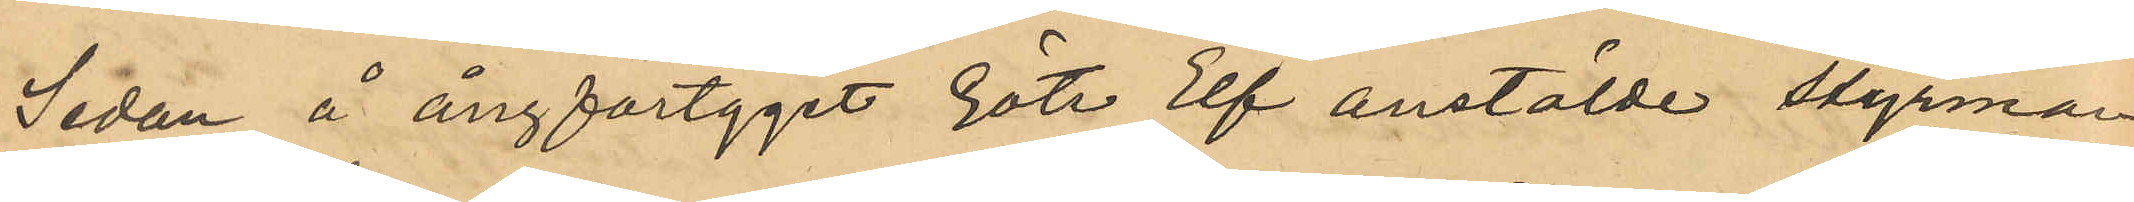Sedan å ångfartyget Göte Elf anställde styrman¬
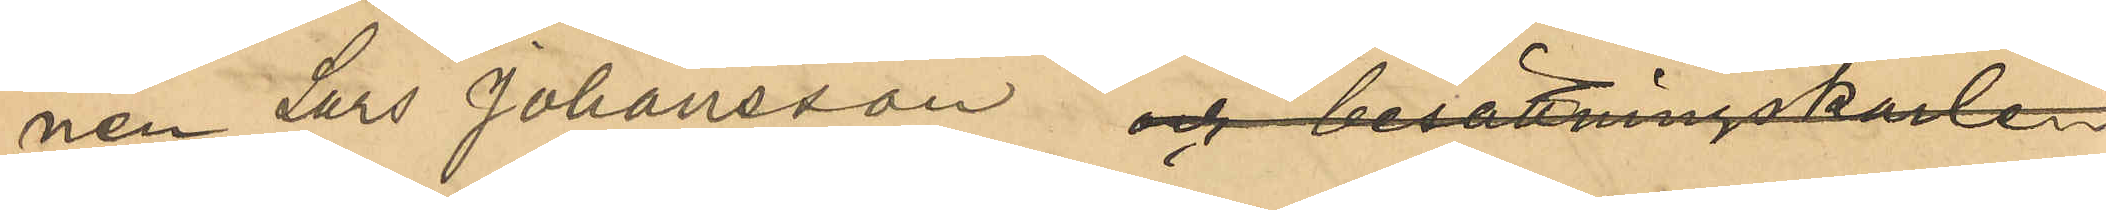nen Lars Johansson och besättningskarlen
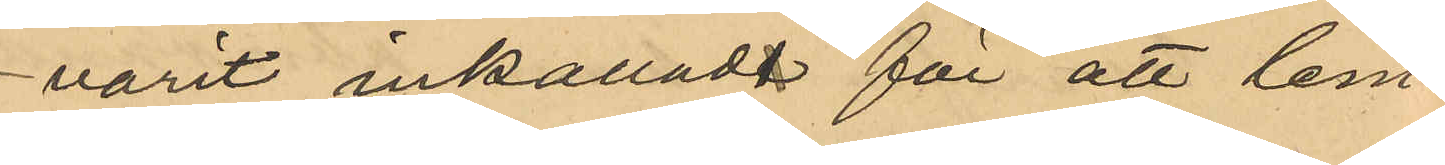varit inkallade för att lem¬
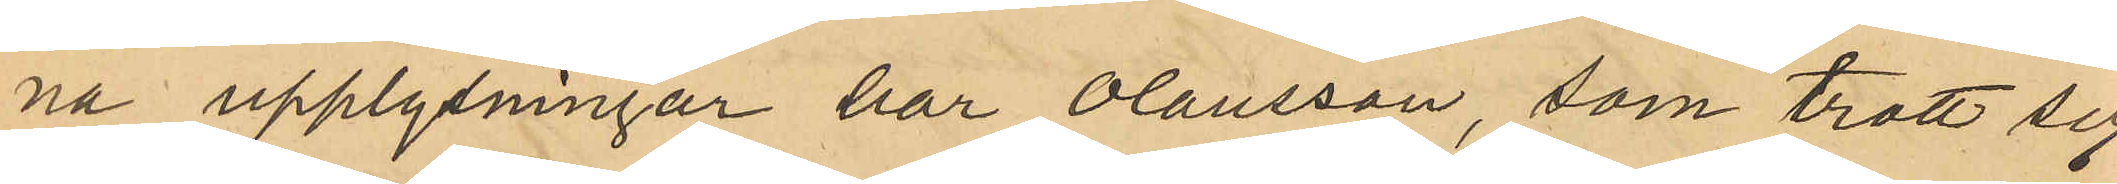na upplysningar har Olausson, som trott sig
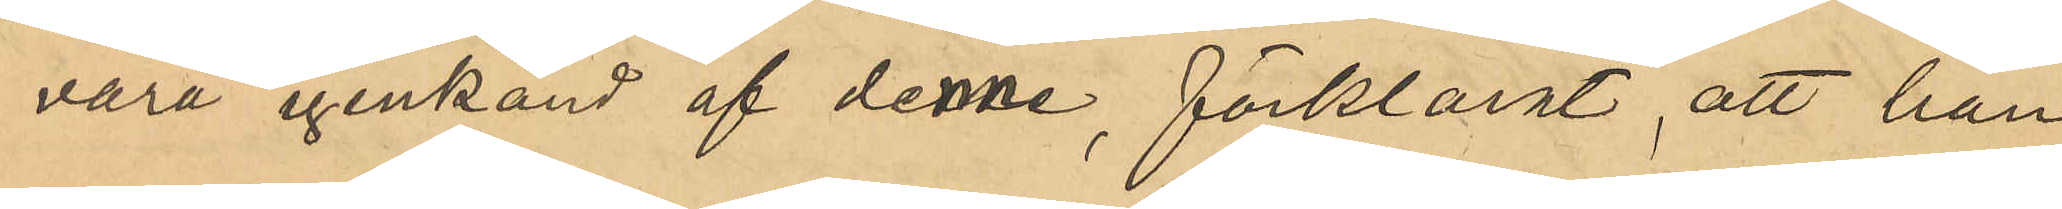vara igenkänd af denne, förklarat, att han
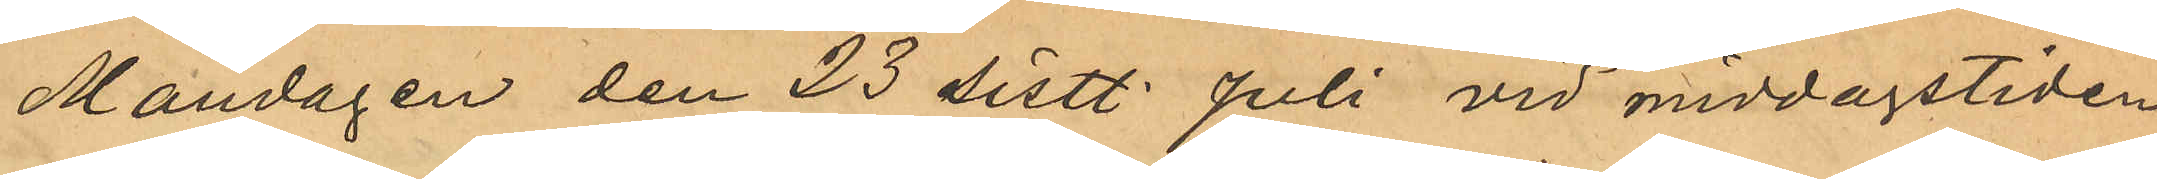Måndagen den 23 sist. Juli vid middagstiden
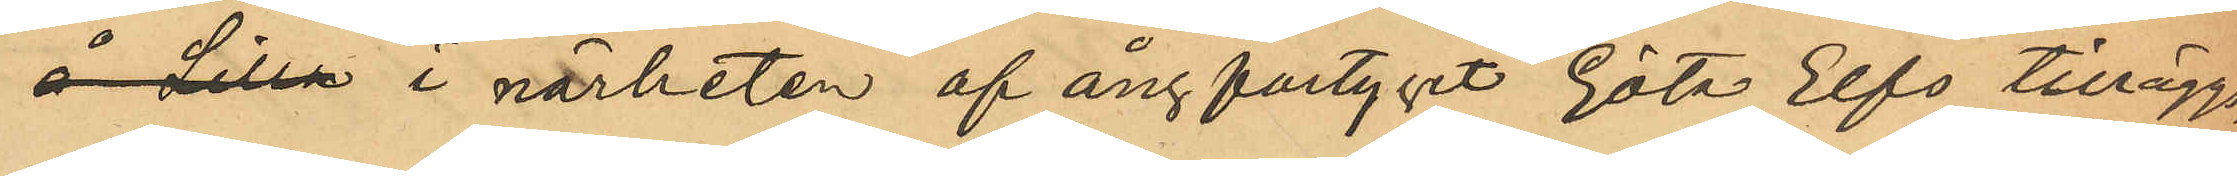å Lilla i närheten af ångfartyget Göta Elfs tilläggs¬
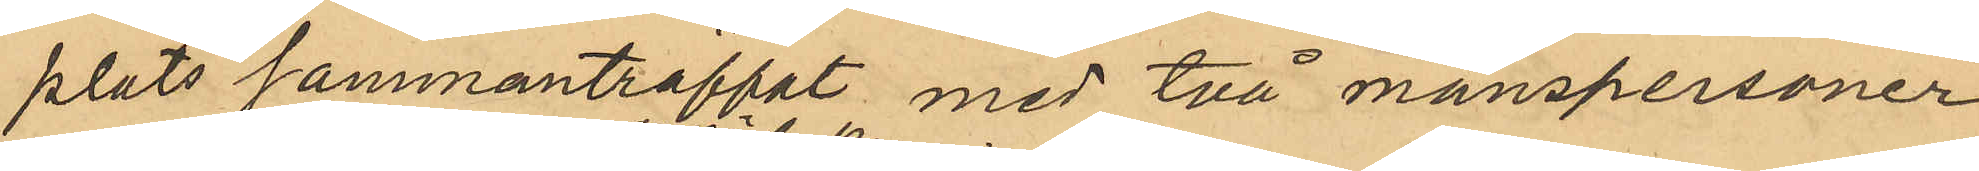plats sammanträffat med två manspersoner 
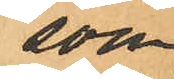som
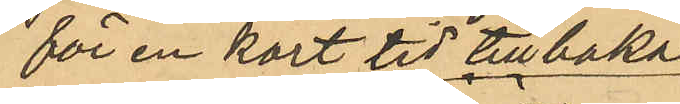för en kort tid tillbaka
